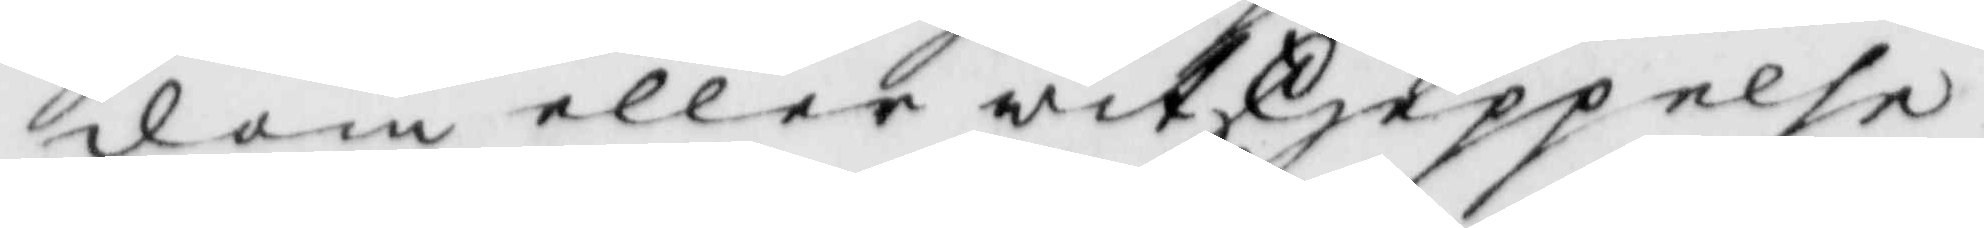dom eller witskjeppelse
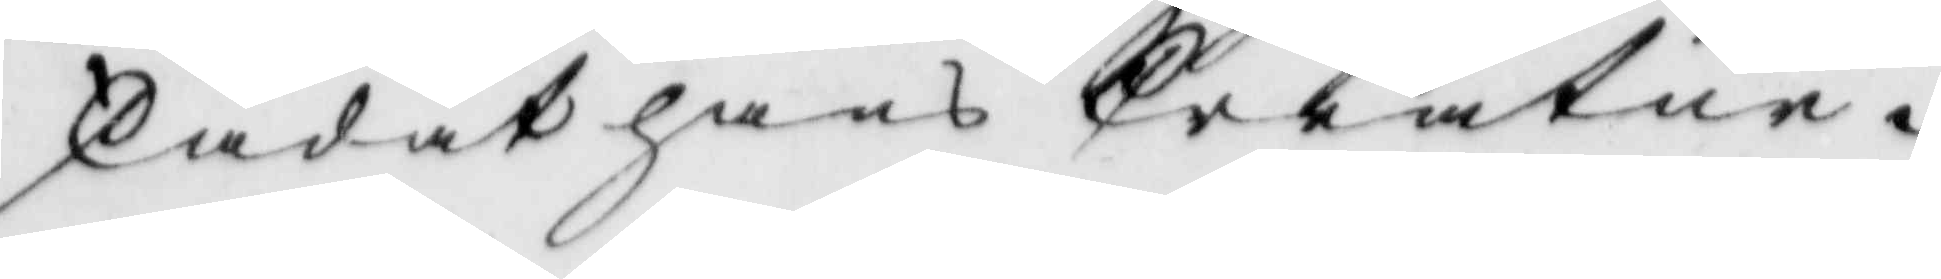skadat hans Creatur.
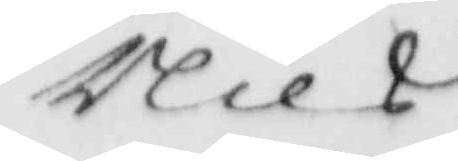Nils
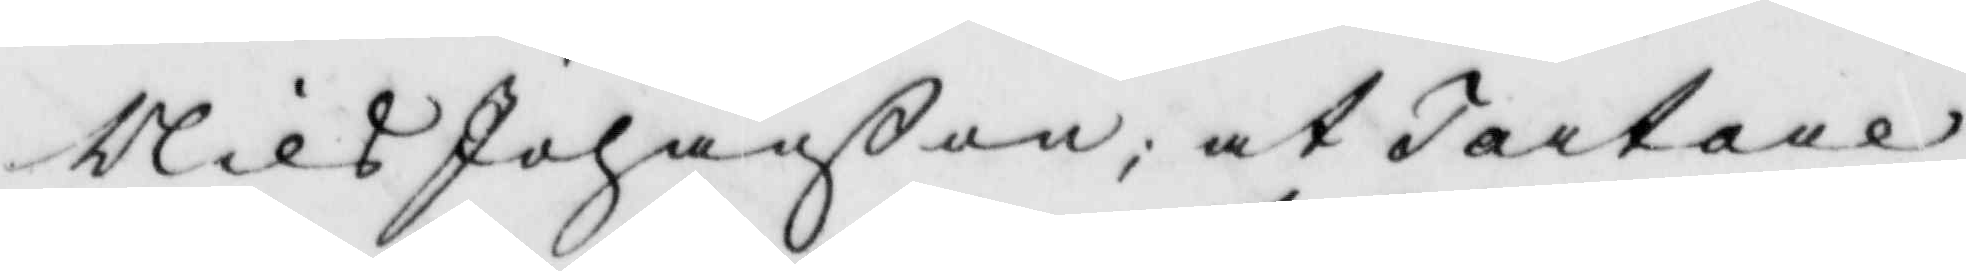Nils Johanßon; at Tartare¬
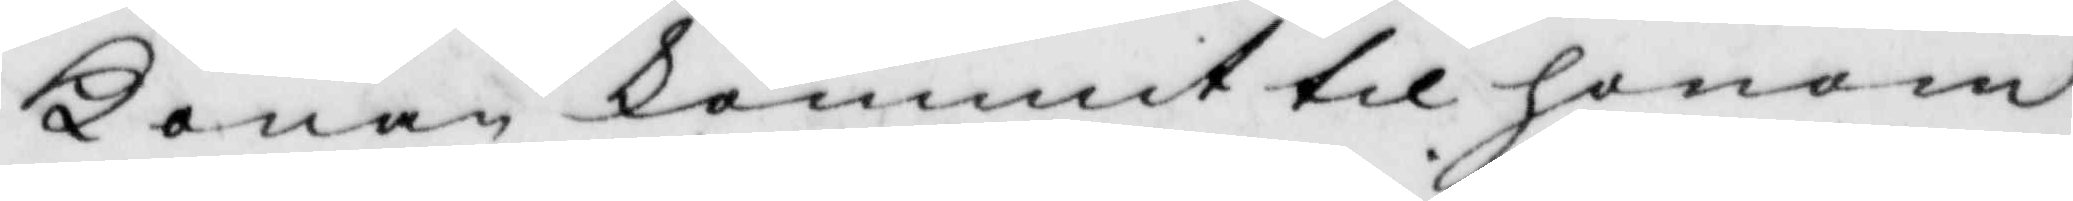Konan kommit til honom
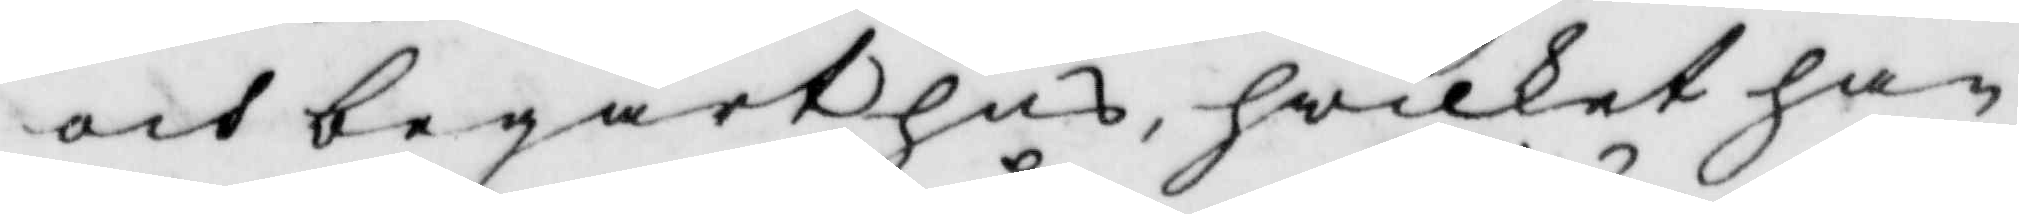och begärt hus, hwilket han
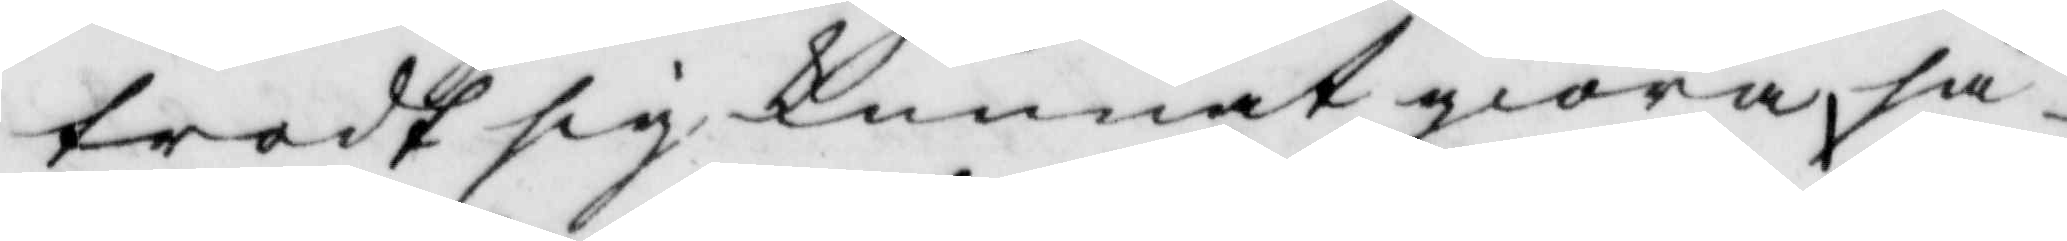trodt sig kunnat giöra, så¬
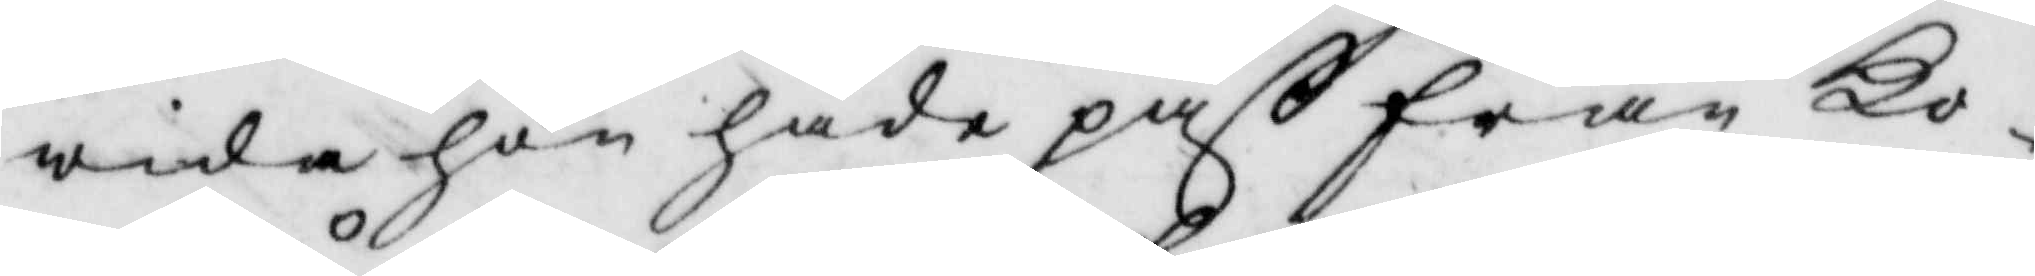wida hon hade paß från Ko¬
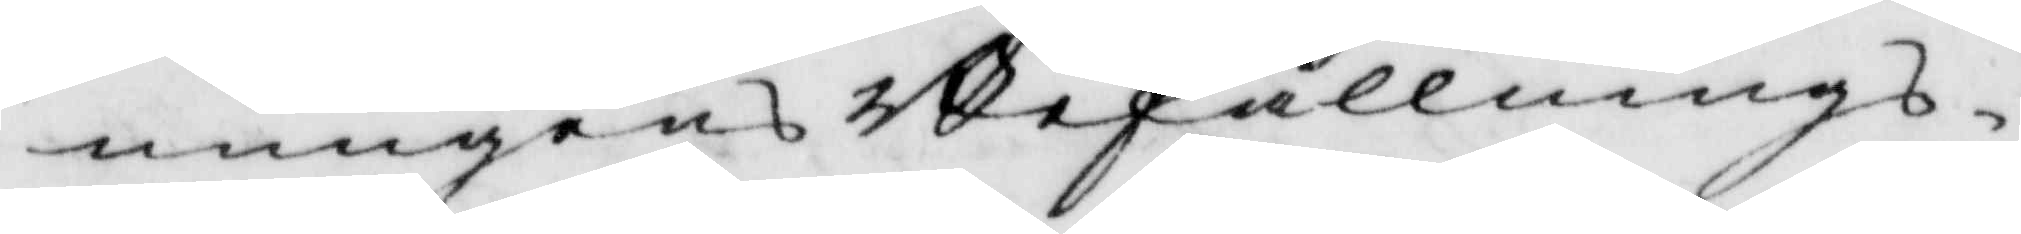nungens Befallnings¬
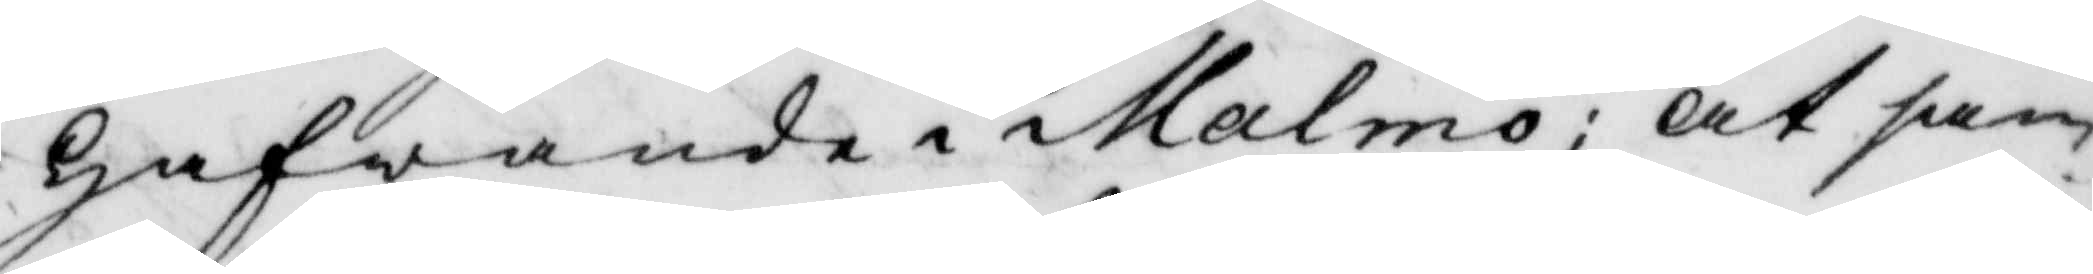hafwande i Malmö; at sam¬
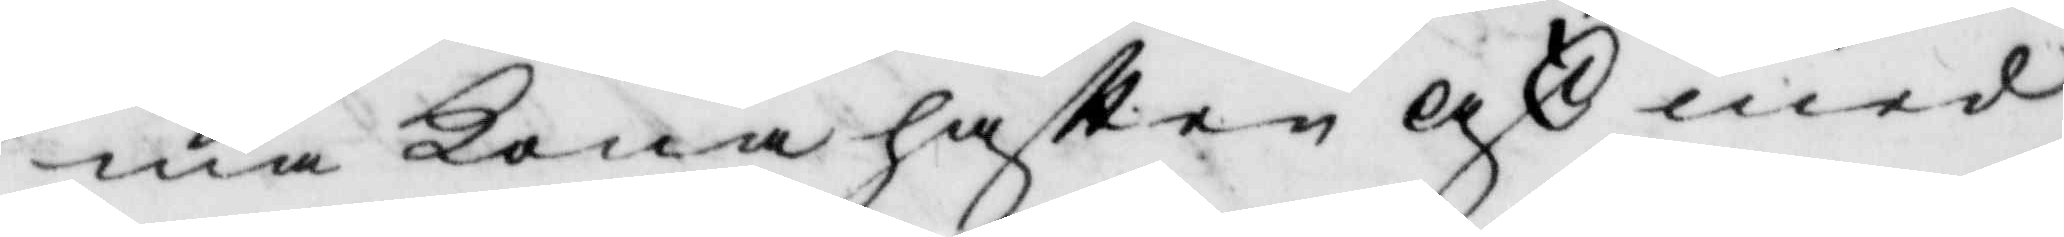ma Kona haft en ask med
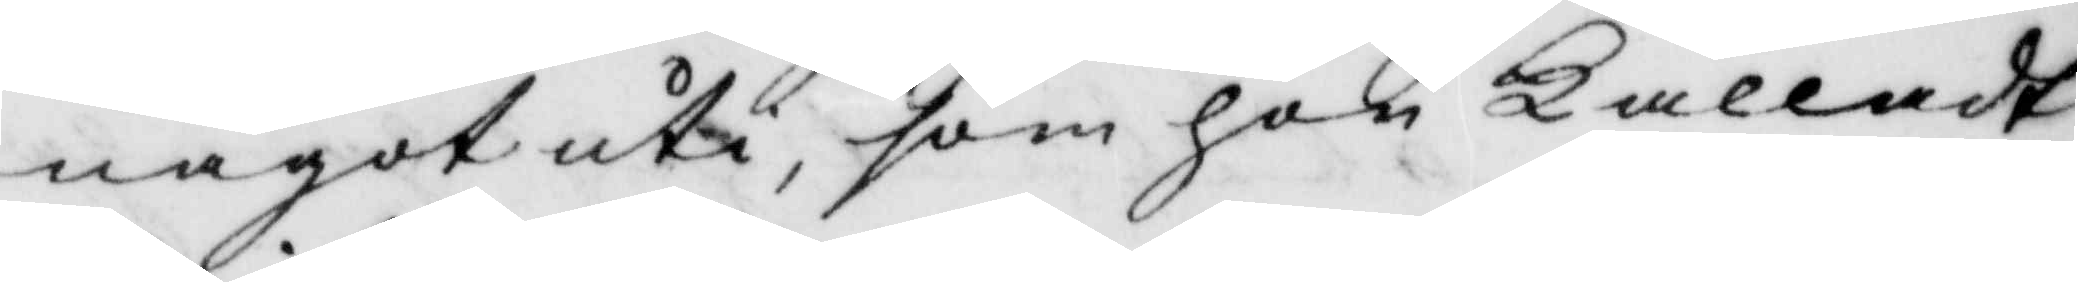något uti, som hon kalladt
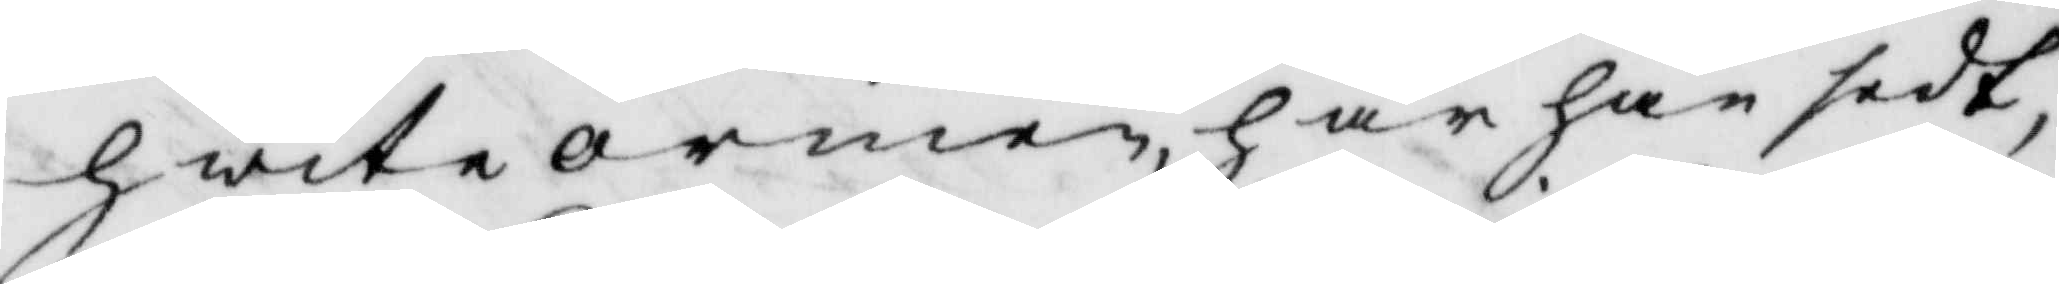hwita ormen, har han sedt
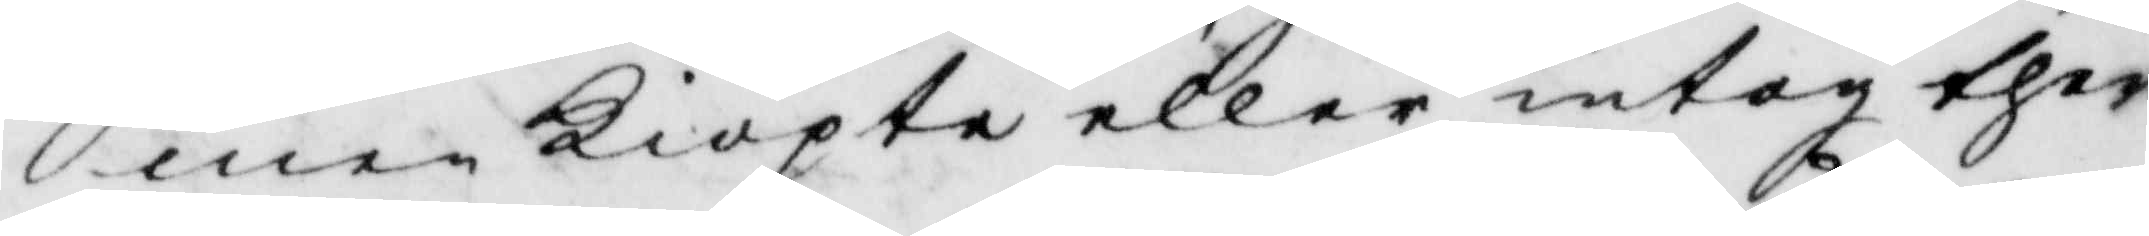men Kiöpte eller intog ther¬
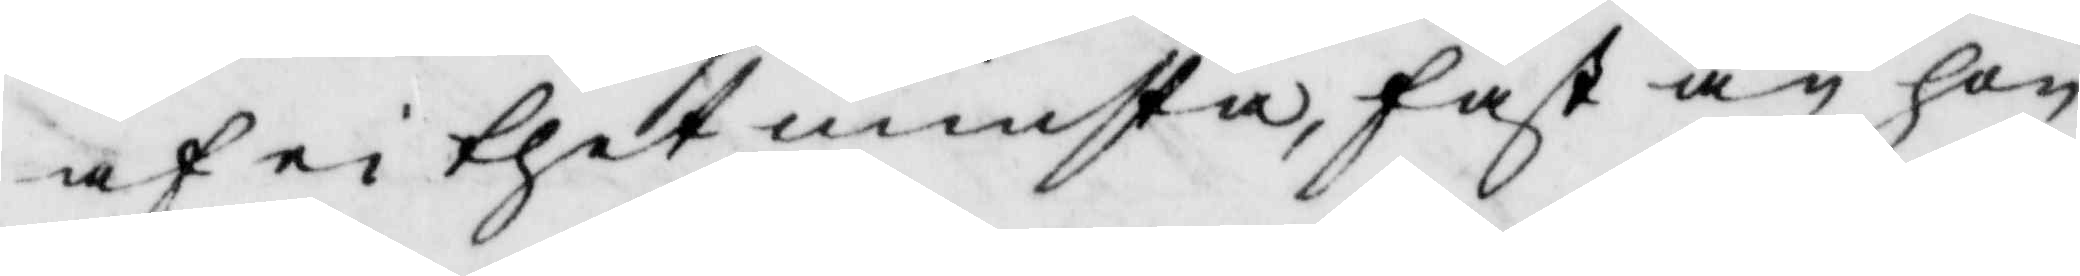af ei thet minsta, fast än han
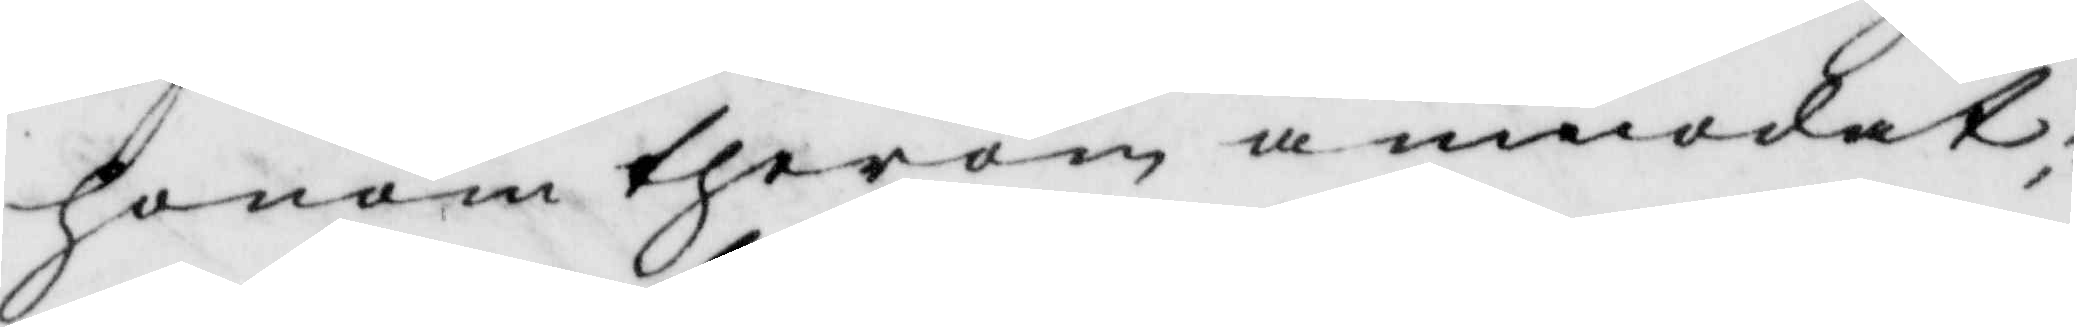honom therom anmodat;
